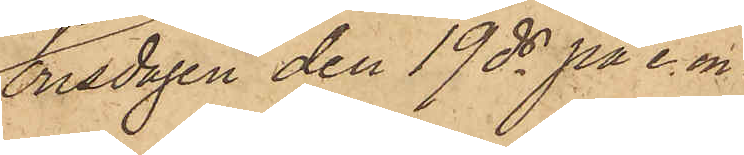onsdagen den 19 ds på e. m.
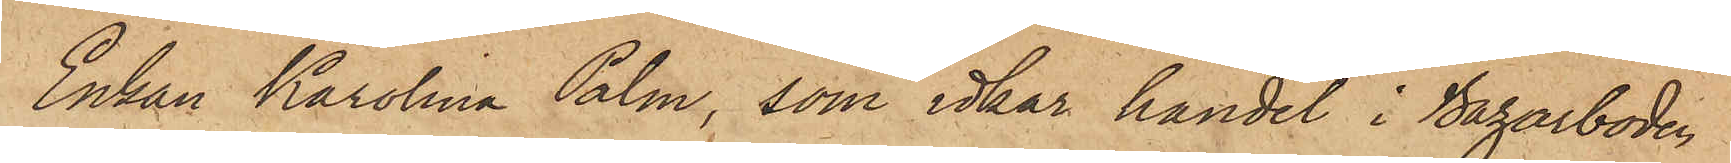Enkan Karolina Palm, som idkar handel i Bazarboden
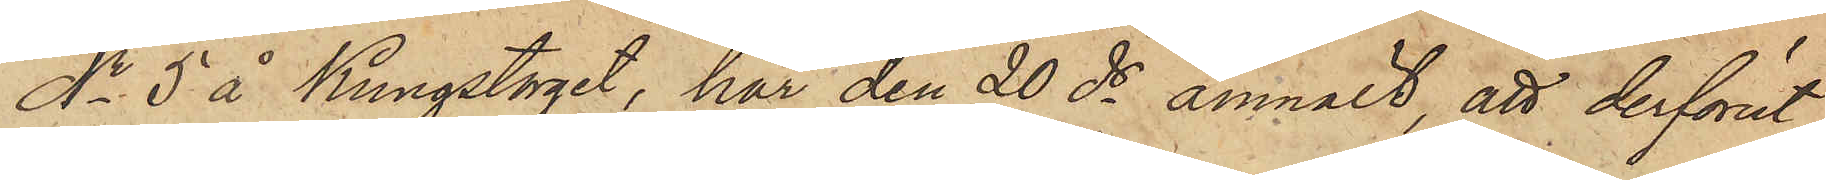No 5 å Kungstorget, har den 20 ds anmält, att derförut¬
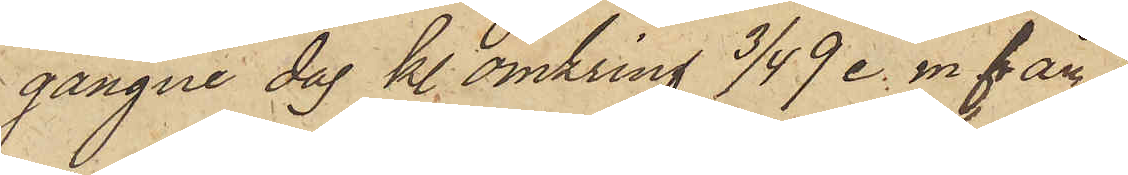gångne dag kl. omkring 3/4 9 e. m. från
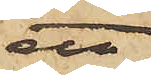ett
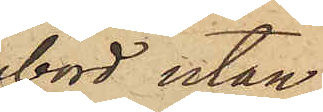bord utan¬
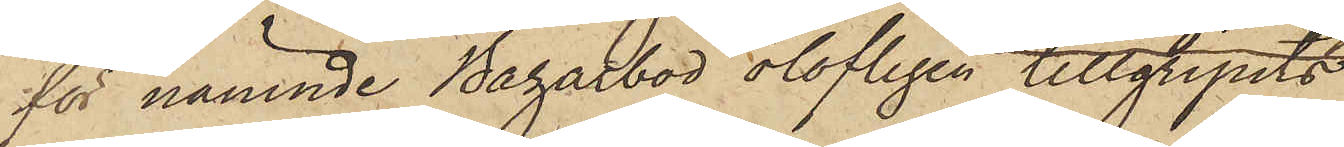för nämnde Bazarbod olofligen tillgripits
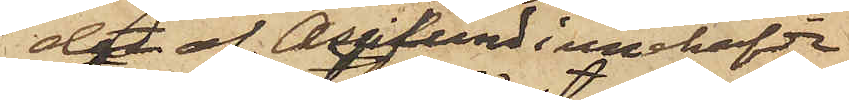det af Asplund innehafde
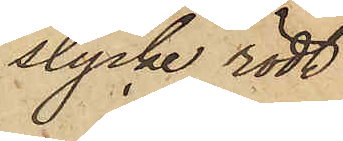stycke rödt
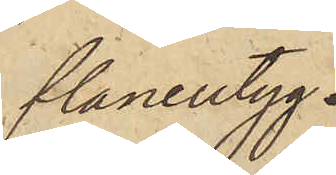flanelltyg,
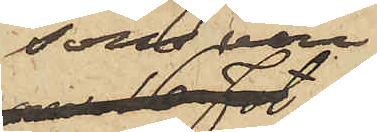som vore
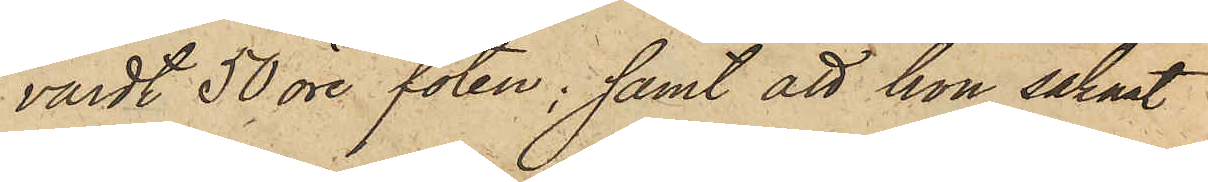värdt 50 öre foten; samt att hon saknat
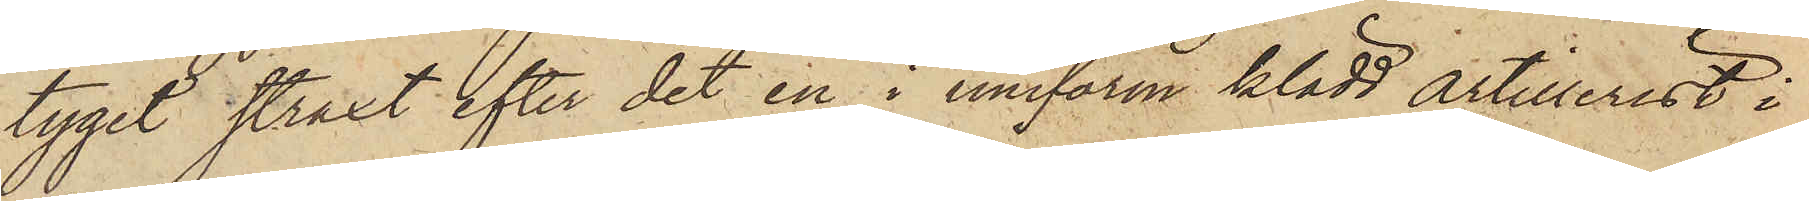tyget straxt efter det en i uniform klädd artillerist i
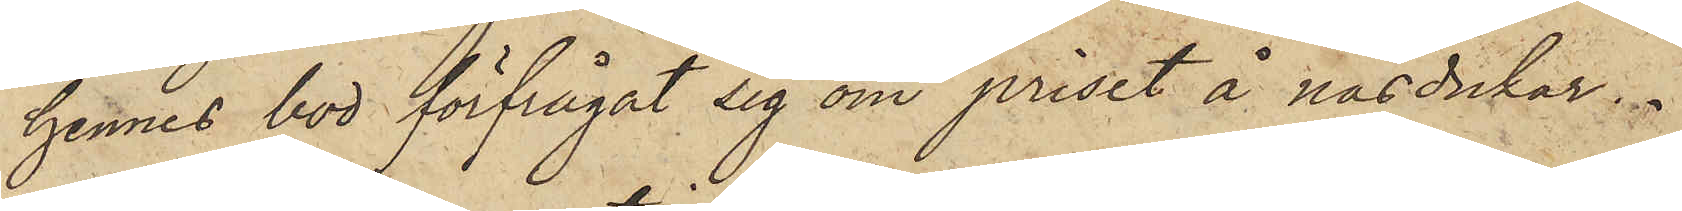hennes bod förfrågat sig om priset å näsdukar.
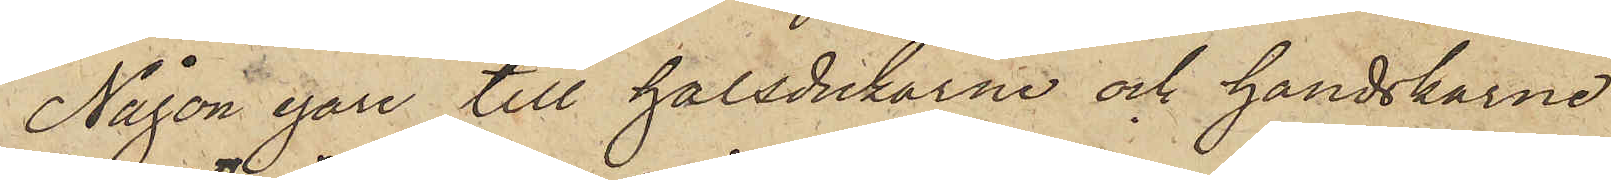Någon egare till halsdukarne och handskarne
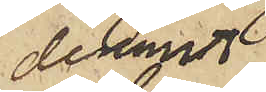deremot
